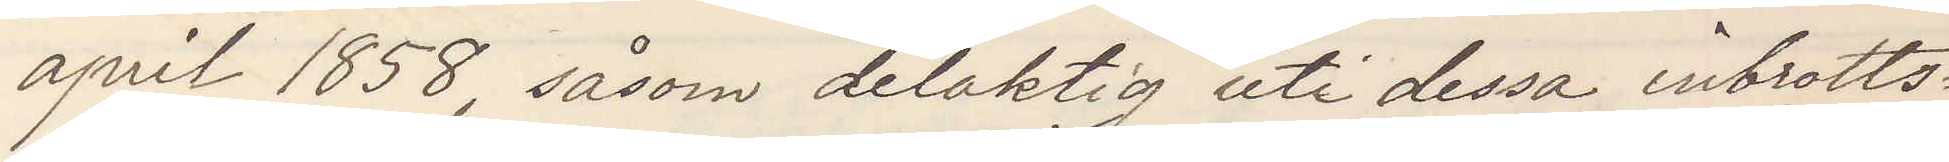april 1858, såsom delaktig uti dessa inbrotts¬
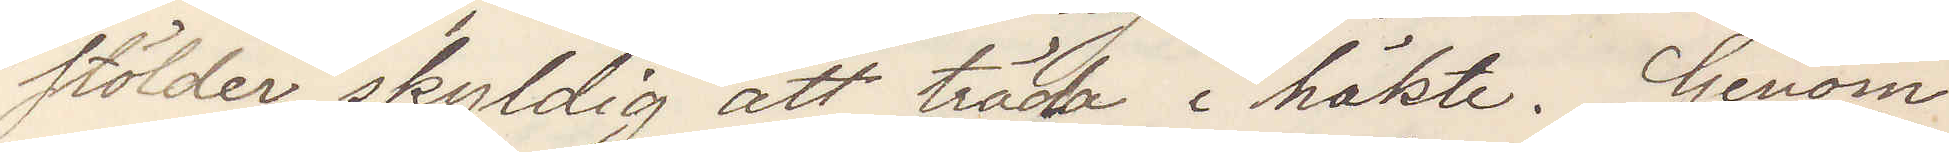stölder, skyldig att träda i häkte. Genom
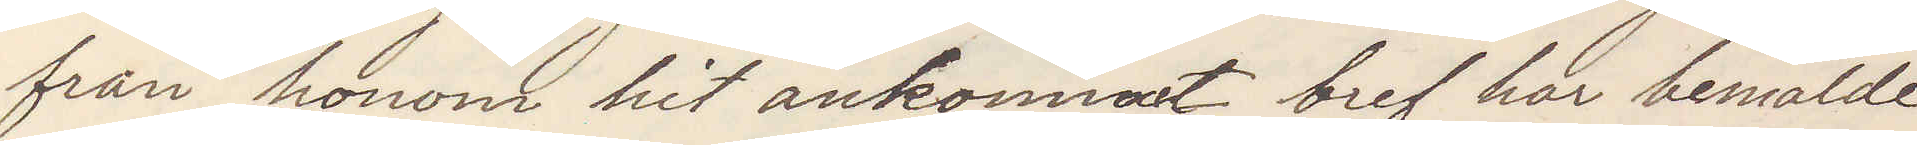från honom hit ankommet bref har bemälde
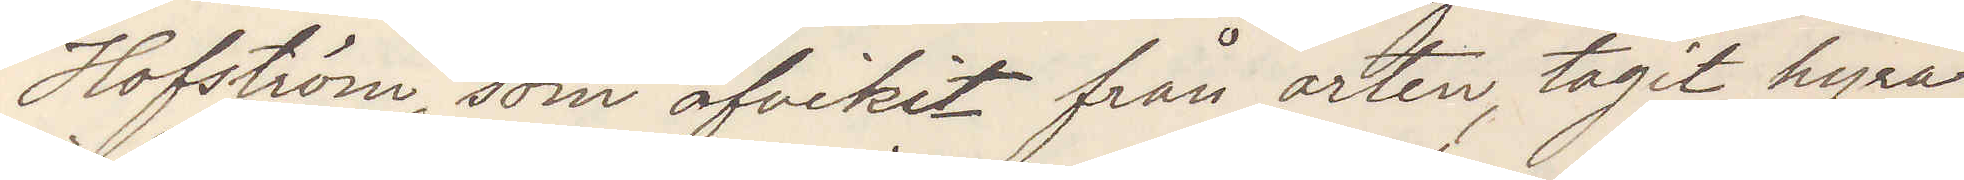Hofström, som afvikit från orten, tagit hyra
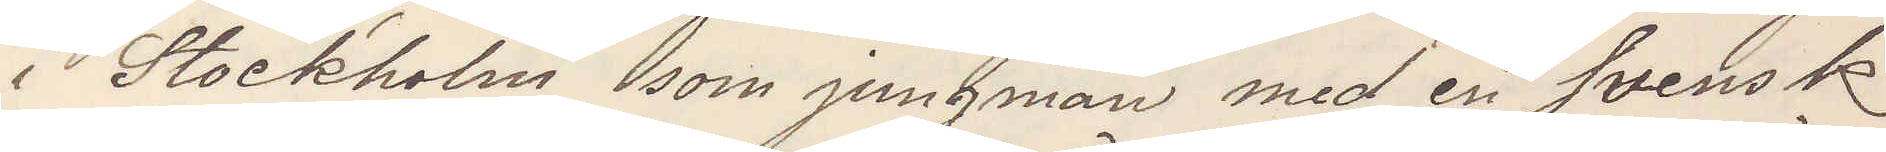i Stockholm som jungman med en Svensk
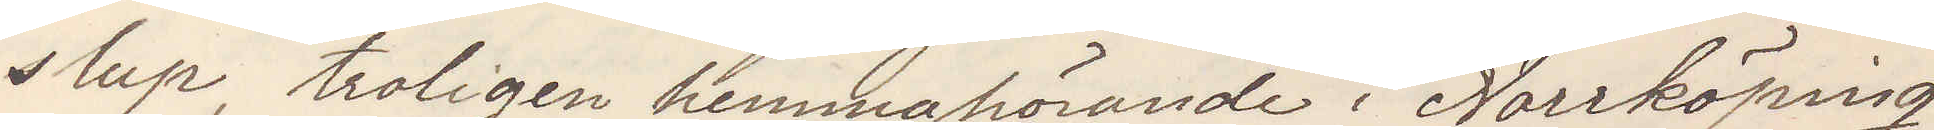slup, troligen hemmahörande i Norrköping,
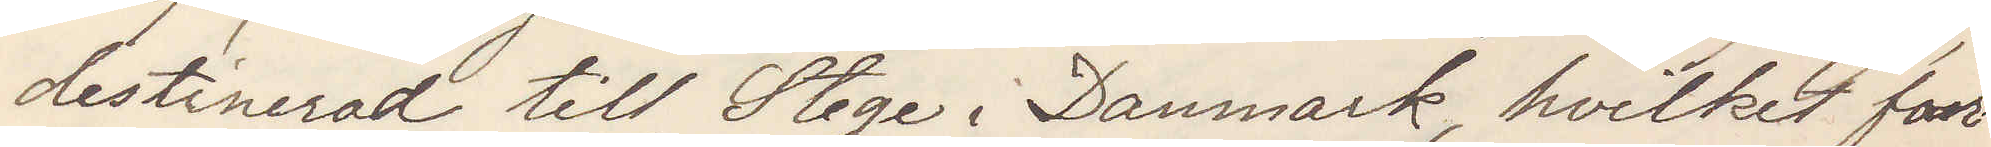destinerad till Stege i Danmark, hvilket far¬
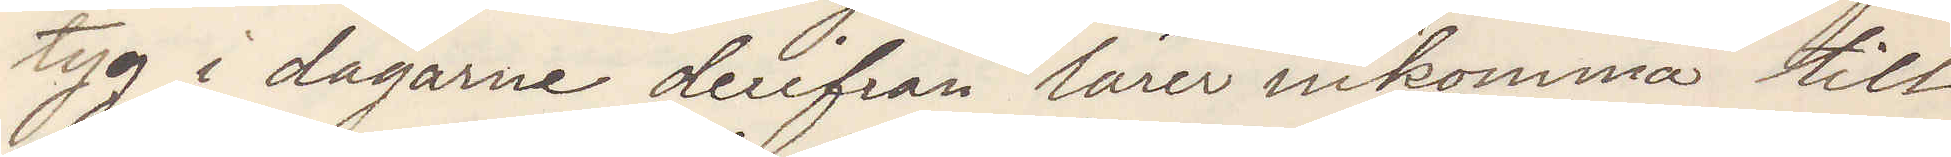tyg i dagarne derifrån lärer inkomma till
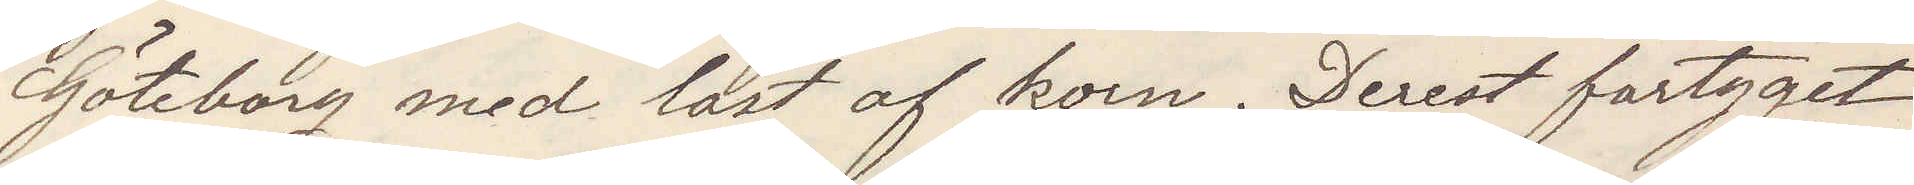Göteborg med last af korn. Derest fartyget
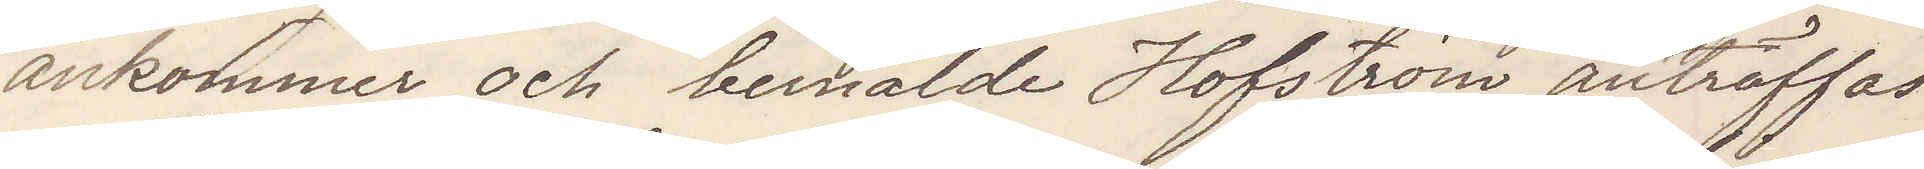ankommer och bemälde Hofström anträffas
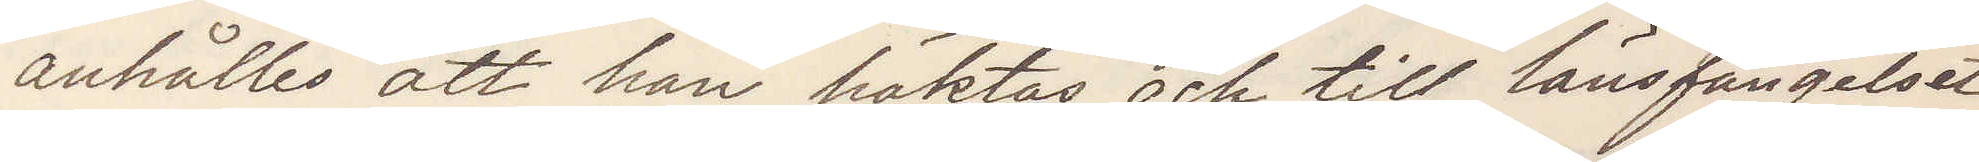anhålles att han häktas och till länsfängelset
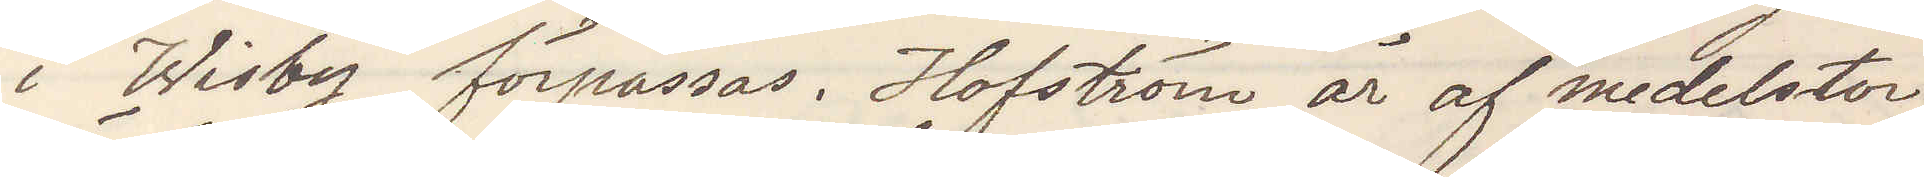i Wisby förpassas Hoftsröm är af medelstor
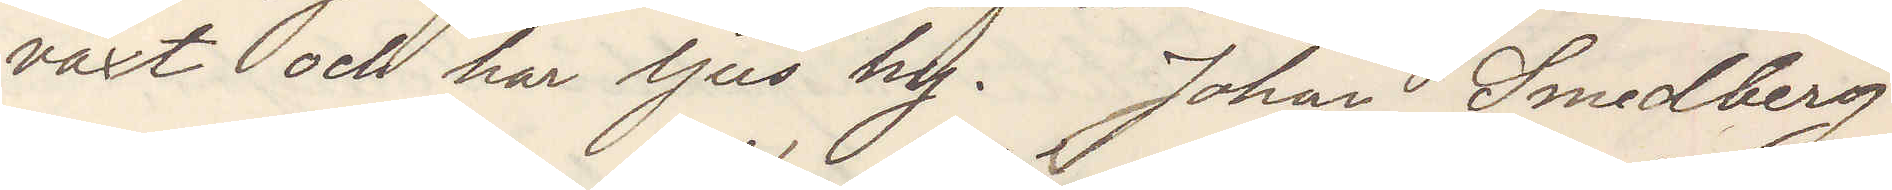växt och har ljus hy. Johan Smedberg
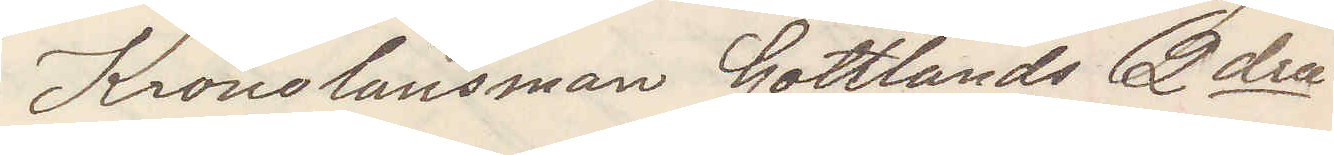Kronolänsman Gotlands 2dra
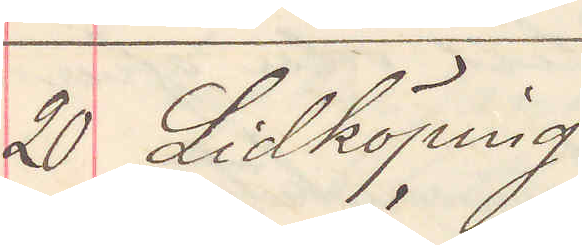20 Lidköping
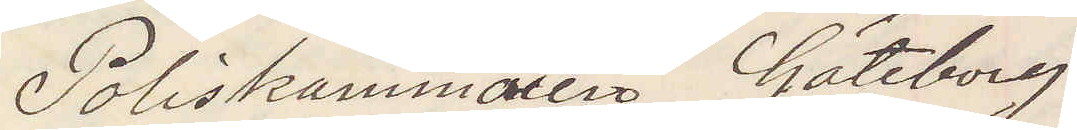Poliskammaren Göteborg
